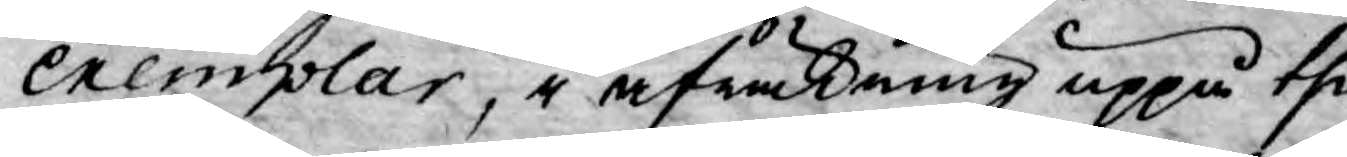Exemplar, i afräkning uppå the
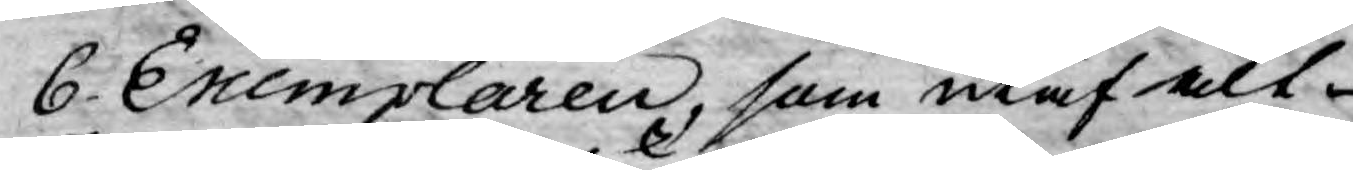6. Exemplaren, som utaf alt
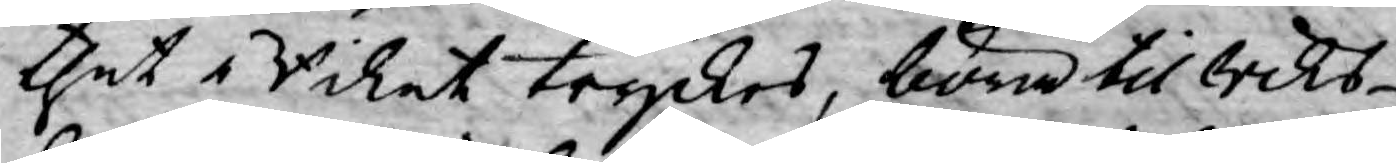thet i Rikat tryckes, böra til Riks¬
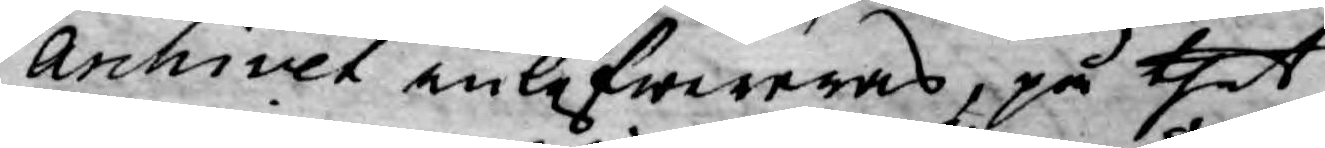archivet inlefwereras, på thet
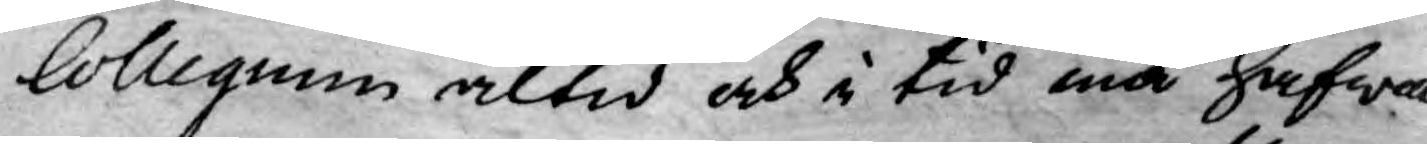Collegium altid och i tid må hafwa
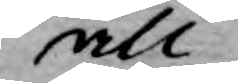all
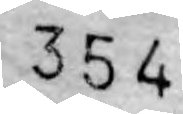354
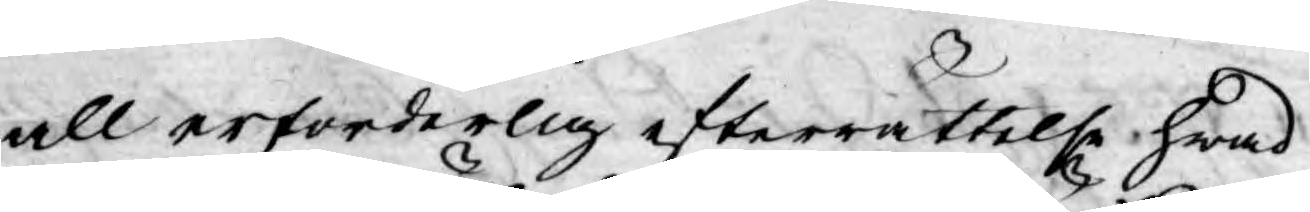all erforderlig efterrättelse, hwad
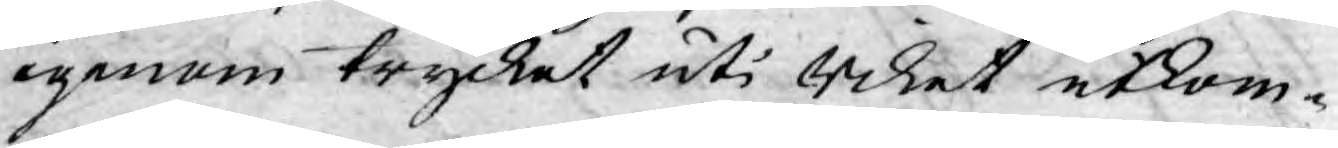igenom trycket uti Riket utkom¬
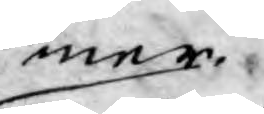mer.
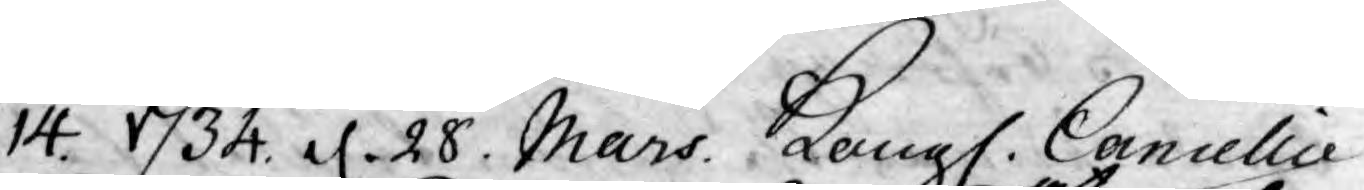14. 1734. d. 28 Mars. Kongl. Cancellie
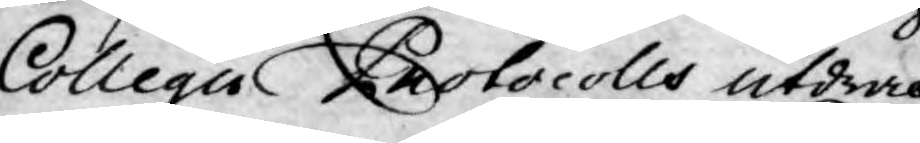Collegii Protocolls utdrag
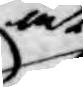at
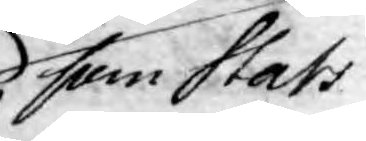som Stats
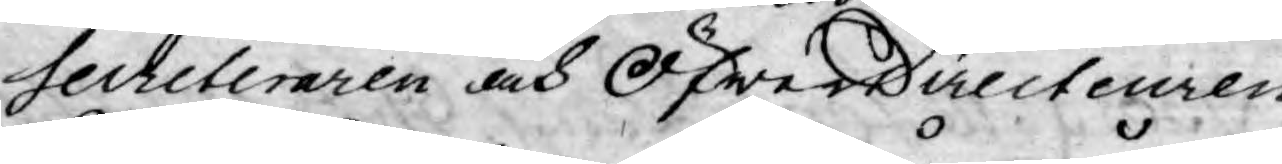Secreteraren och Öfwerdirecteuren
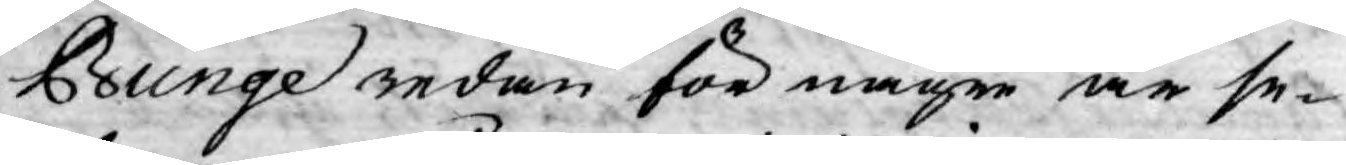Bunge redan för någre år se-
